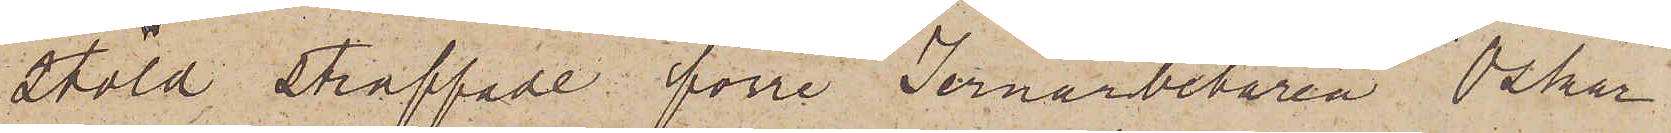stöld straffade förre Jernarbetaren Oskar
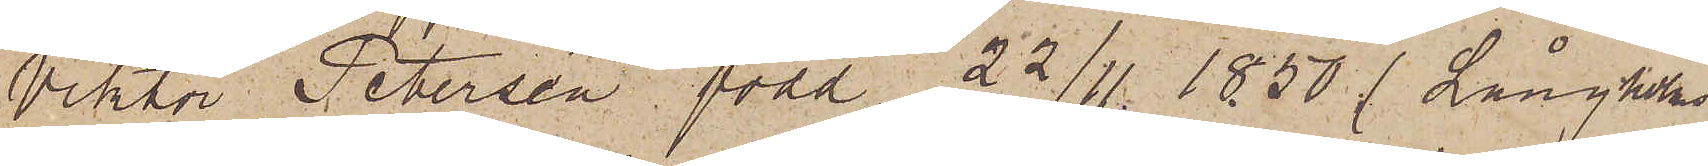Viktor Peterson född 22/11 1850 (Långholms
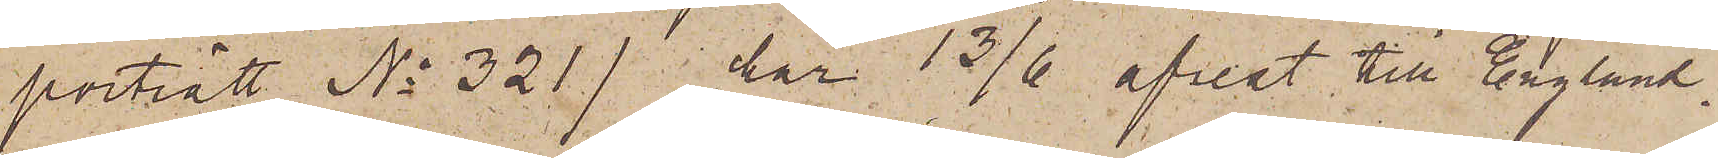porträtt No 321) har 13/6 afrest till England.
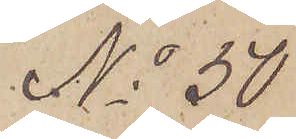No 50
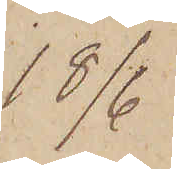18/6
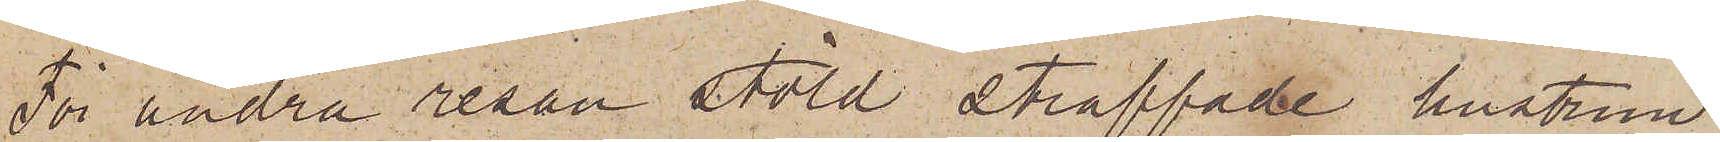För andra resan stöld straffade hustrun
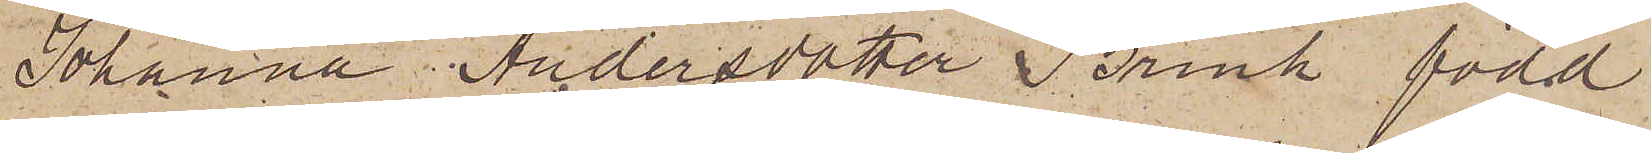Johanna Andersdotter Brink född
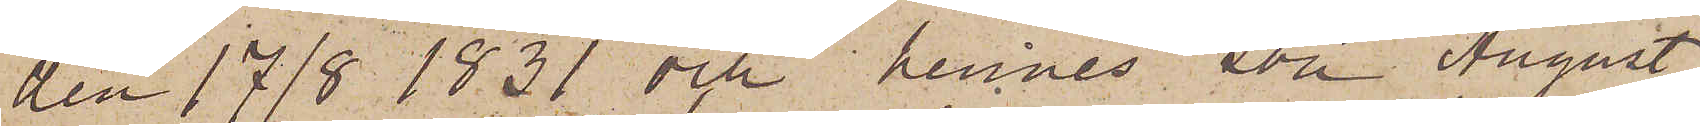den 17/8 1831 och hennes son August
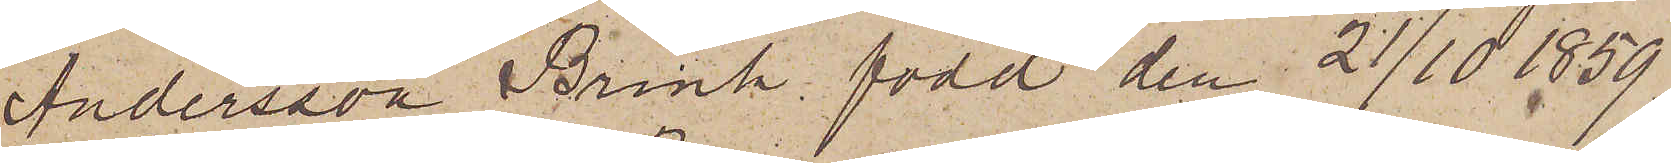Andersson Brink, född den 21/10 1859,
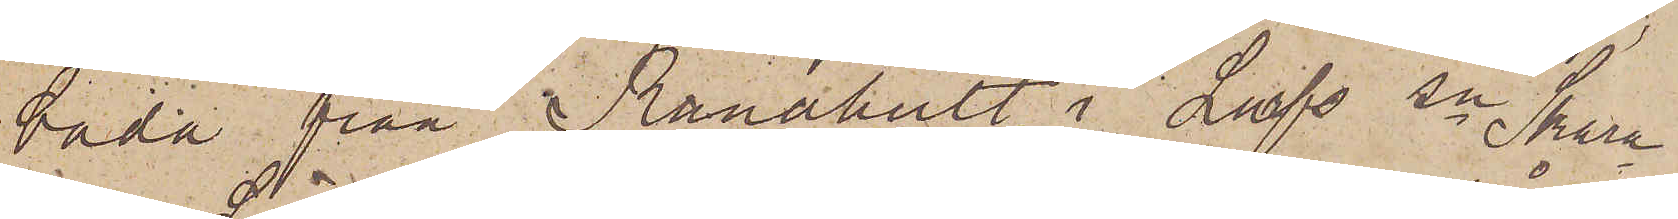båda från Ranahult i Larfs sn Skara¬
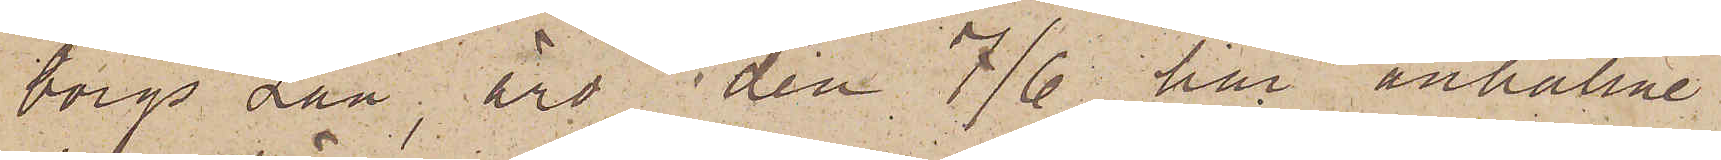borgs Län, äro den 7/6 här anhållne
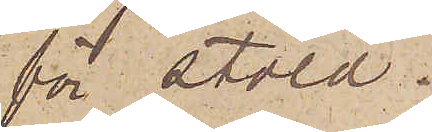för stöld.
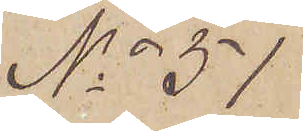No 51
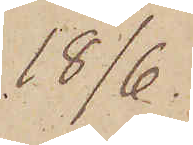18/6.
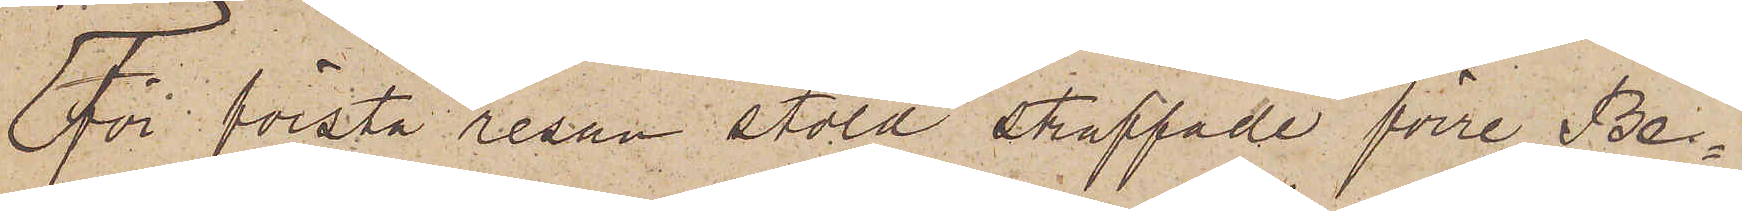För första resan stöld straffade förre Be¬
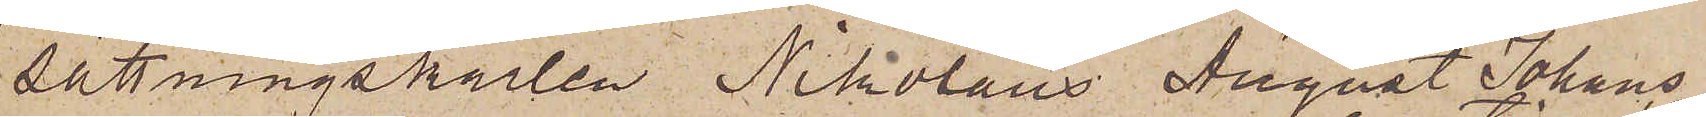sättningskarlen Nikolaus August Johans¬
